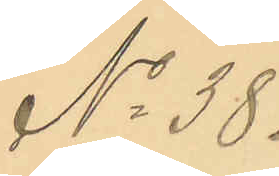No 38.
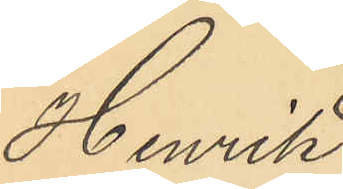Henrik
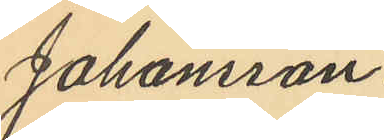Johansson.
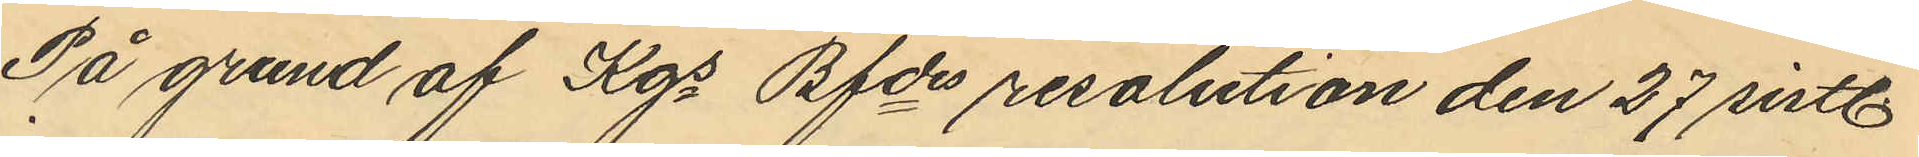På grund af Kgs Bfdes resolution den 27 sistl.
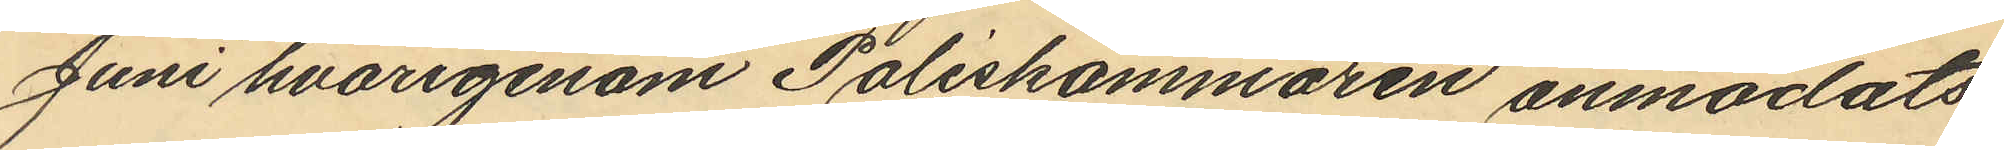Juni hvarigenom Poliskammaren anmodats
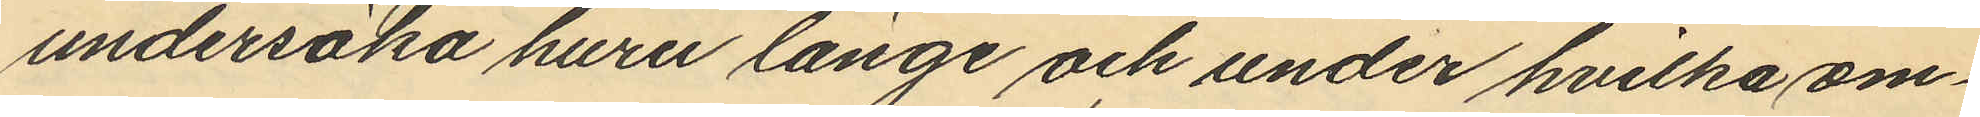undersöka huru länge och under hvilka om¬
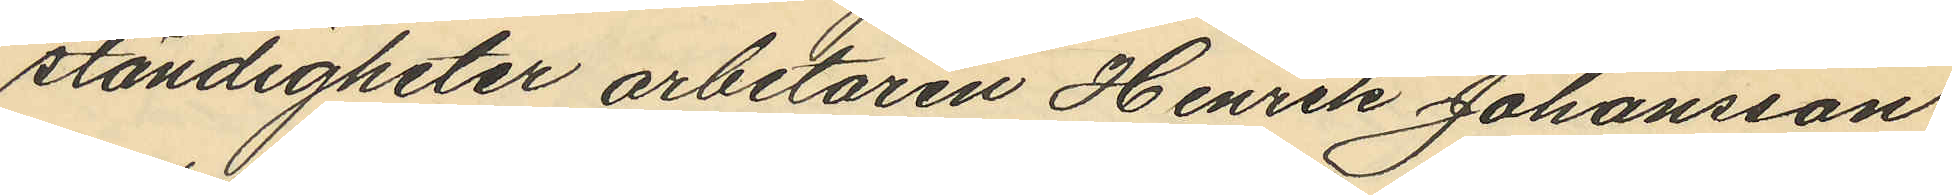ständigheter arbetaren Henrik Johansson
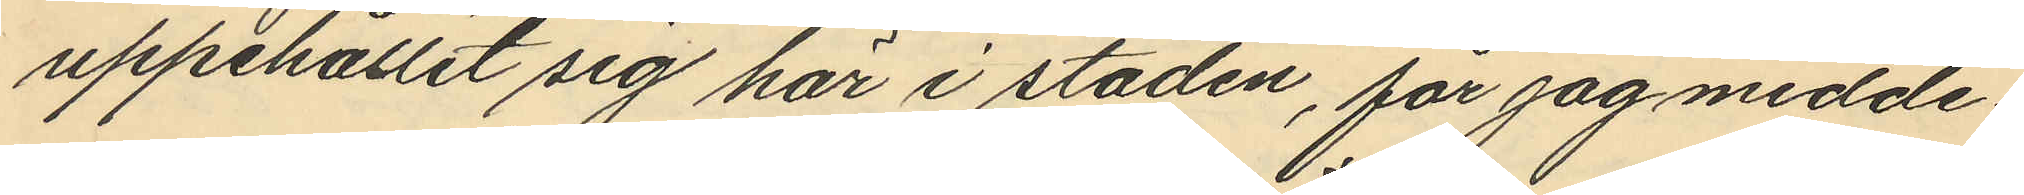uppehållit sig här i staden, får jag medde¬
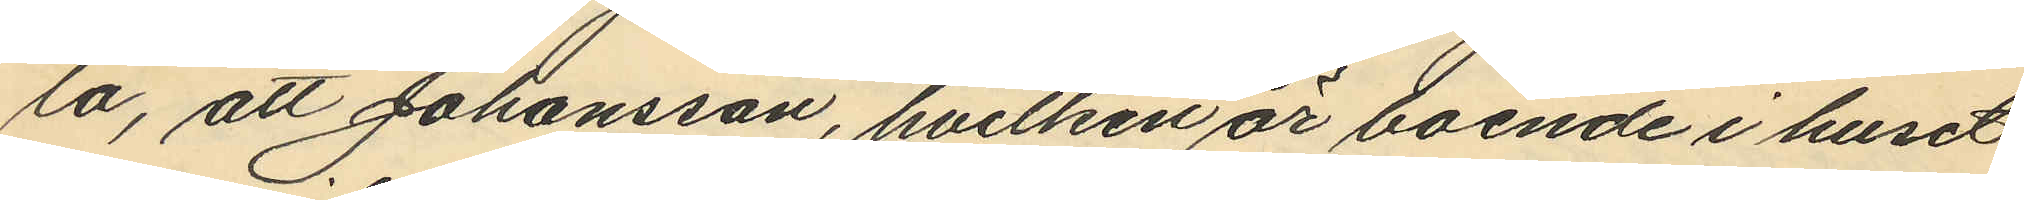la, att Johansson, hvilken är boende i huset
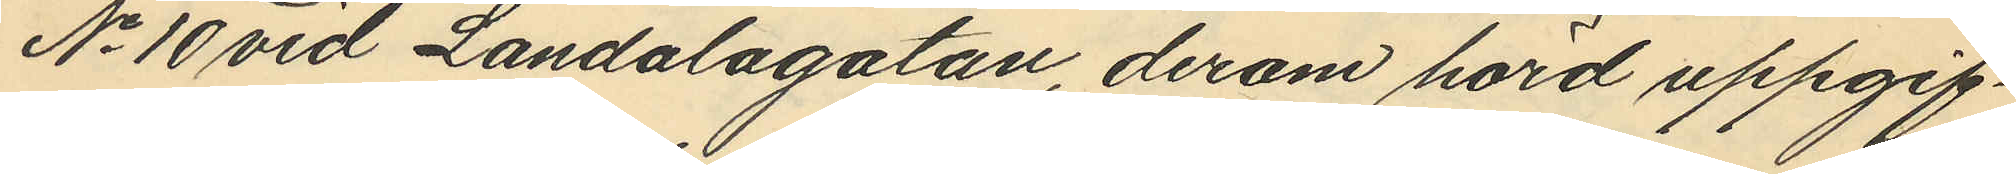No 10 vid Landalagatan, derom hörd uppgif¬
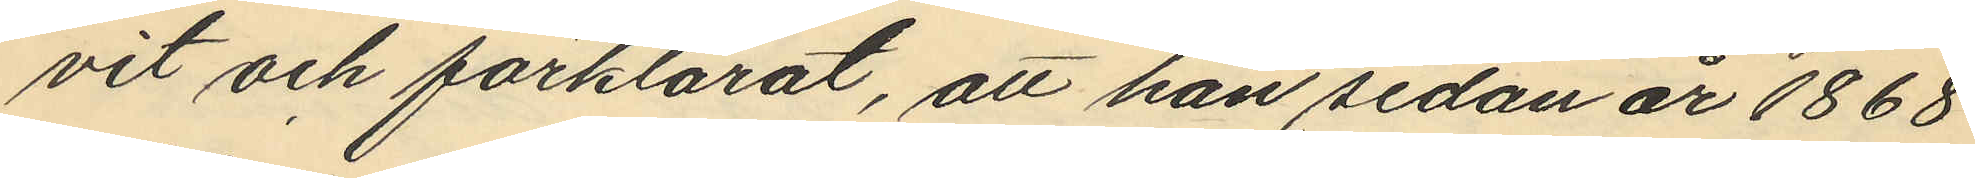vit och förklarat, att han sedan år 1868
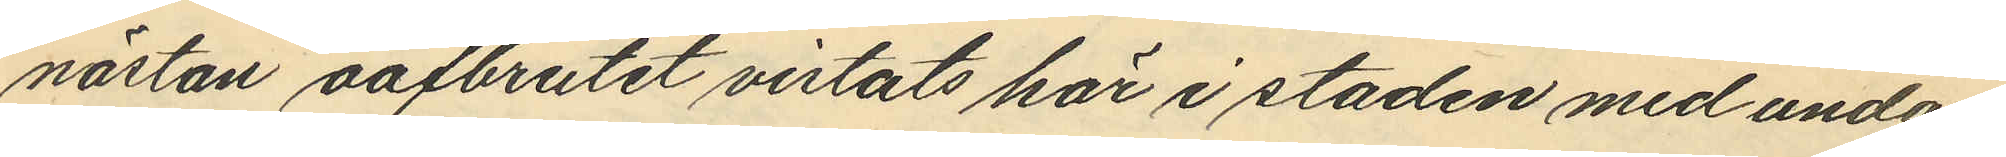nästan oafbrutit vistats här i staden med undan¬
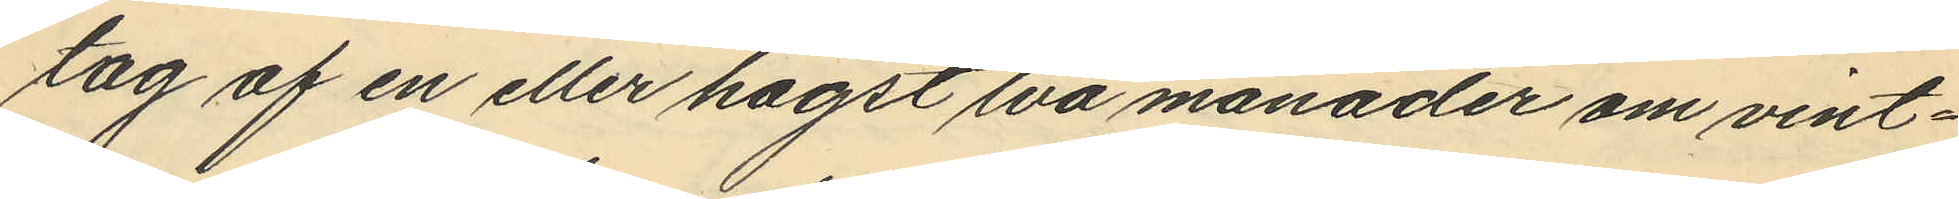tag af en eller högst två månader om vint¬
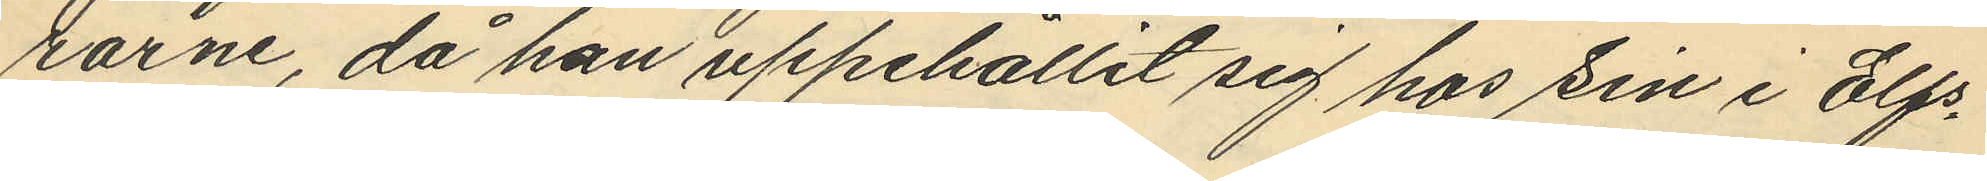rarne, då han uppehållit sig hos sin i Elfs¬
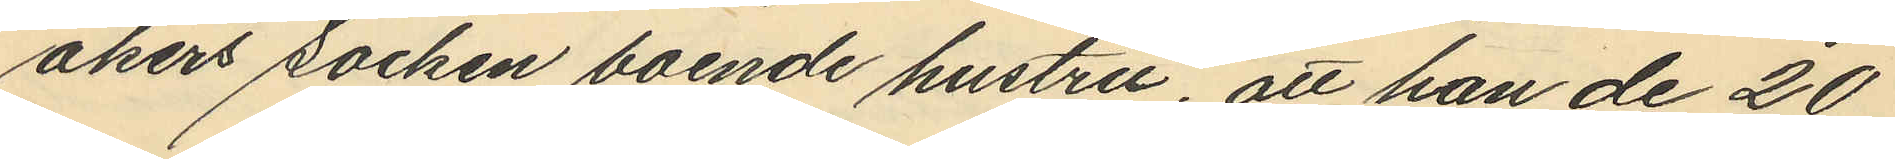åkers socken boende hustru, att han de 20
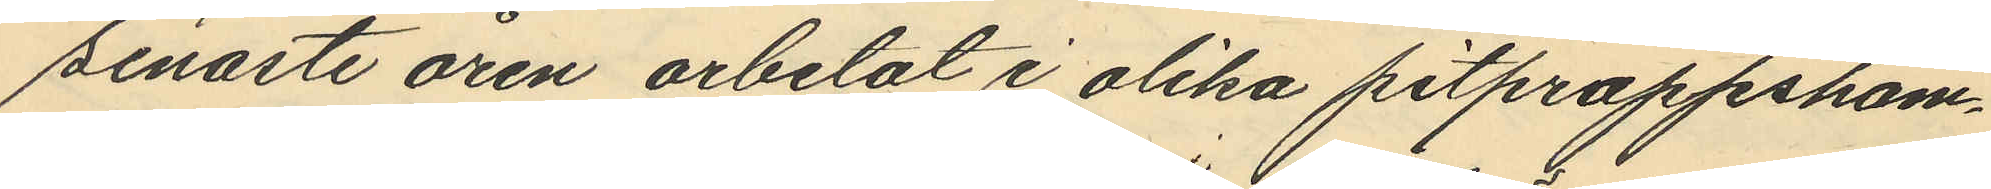senaste åren arbetat i olika pitproppsham¬
